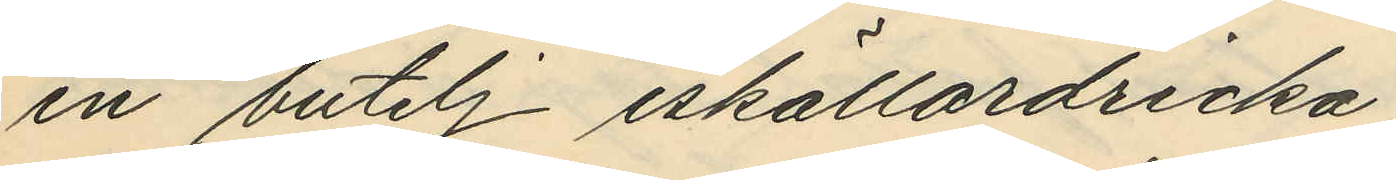en butelj iskällardricka;
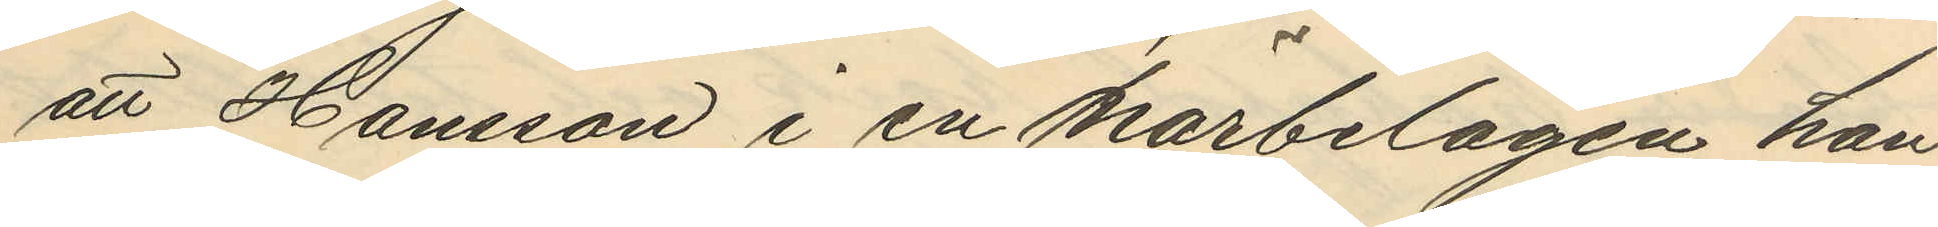att Hansson i en närbelägen han
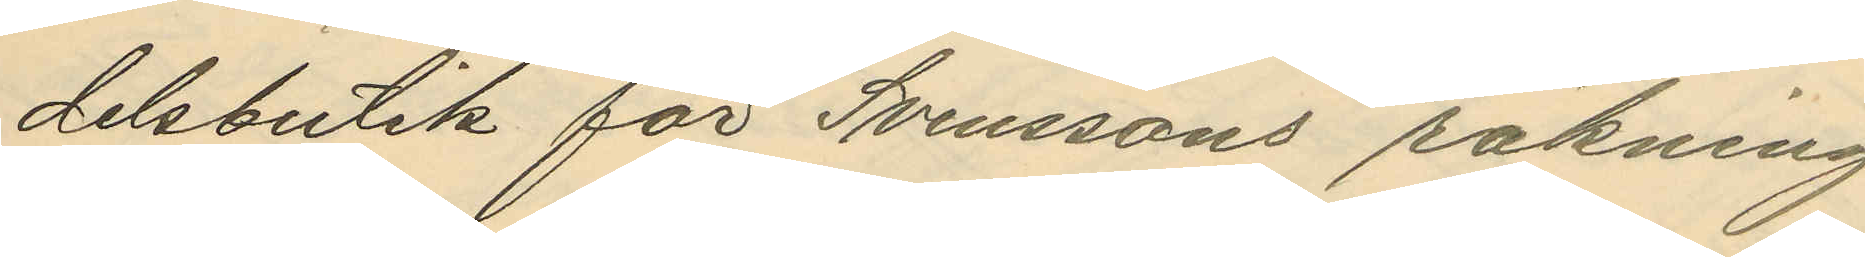delsbutik för Svenssons räkning
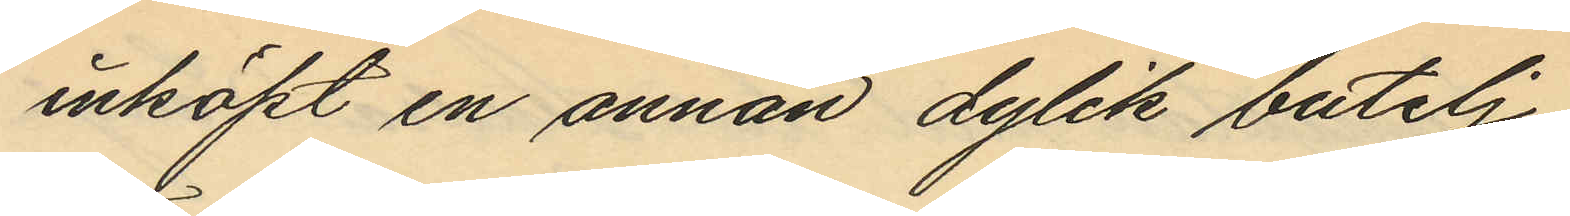inköpt en annan dylik butelj;
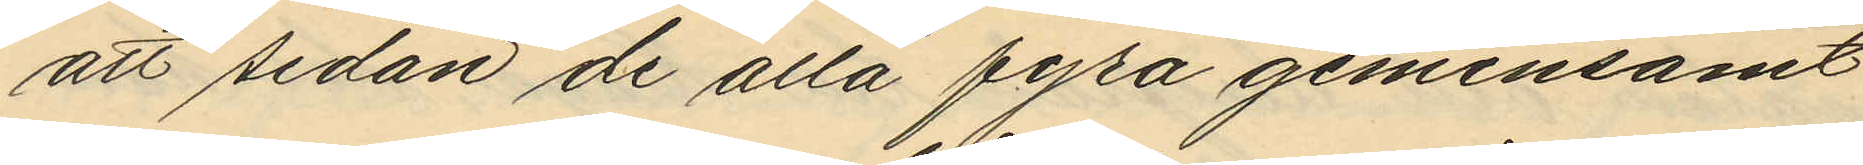att sedan de alla fyra gemensamt
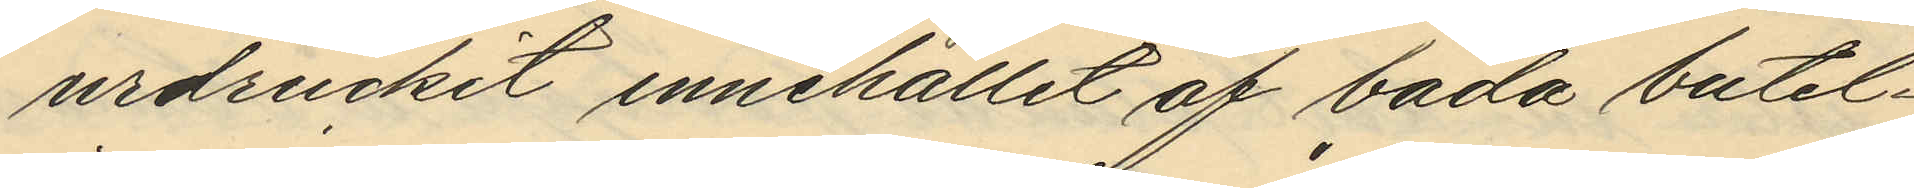urdruckit innehållit af båda butel¬
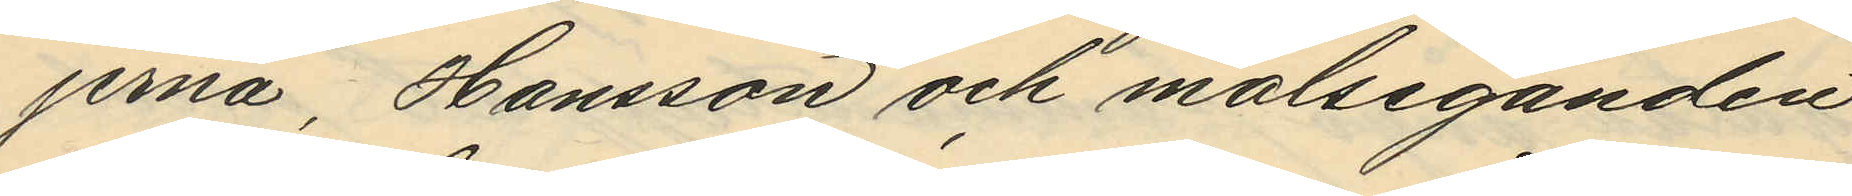jerna, Hansson och målseganden
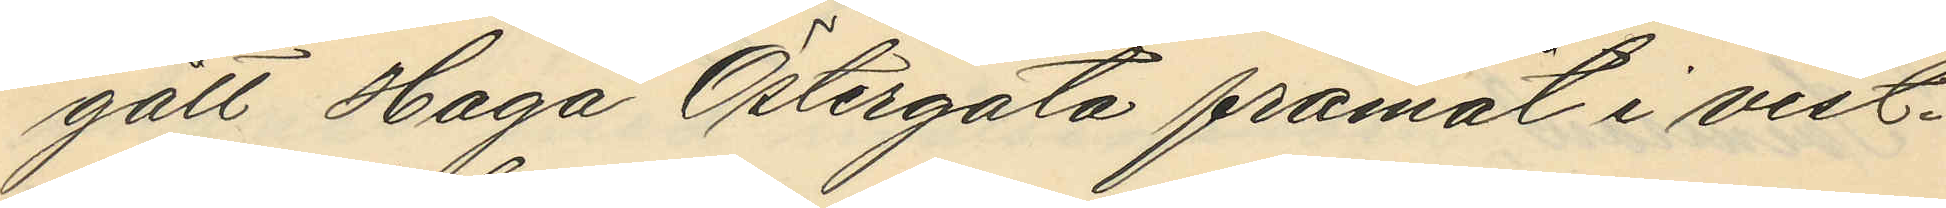gått Haga Östergata framåt i vest¬
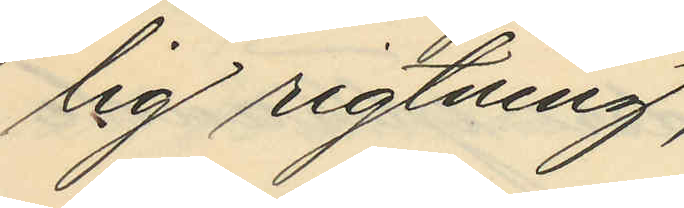lig rigtning;
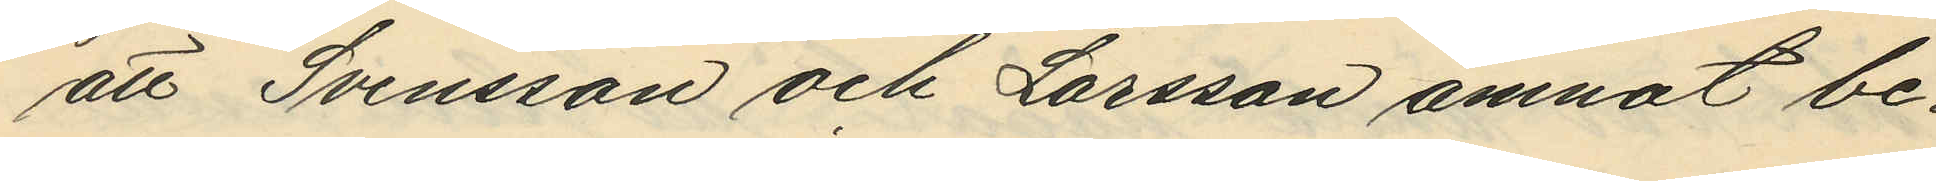att Svensson och Larsson ämnat be¬
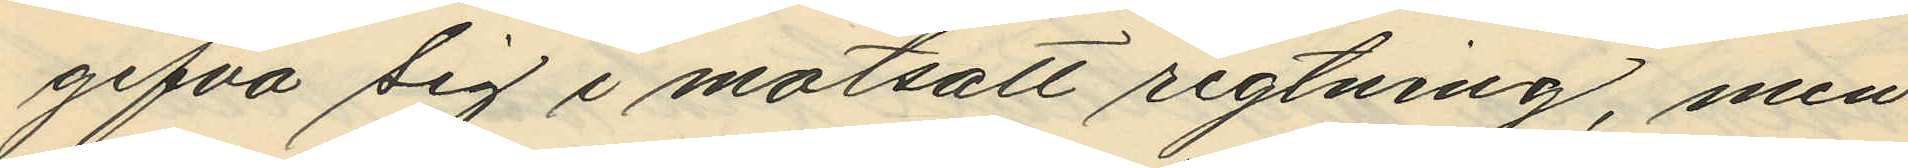gifva sig i motsatt rigtning, men
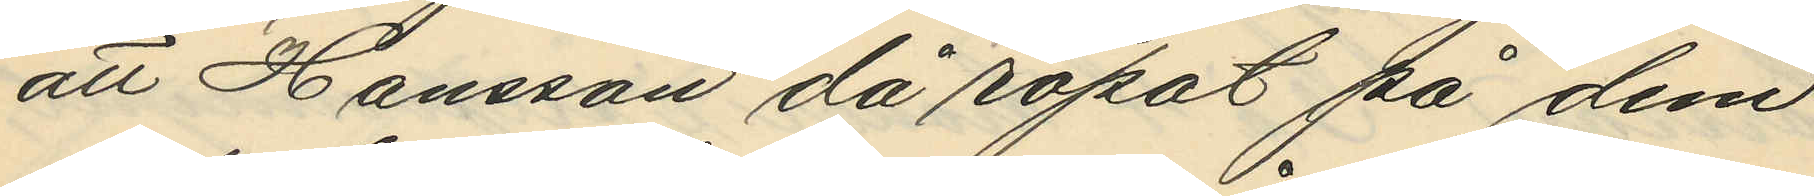att Hansson då ropat på dem
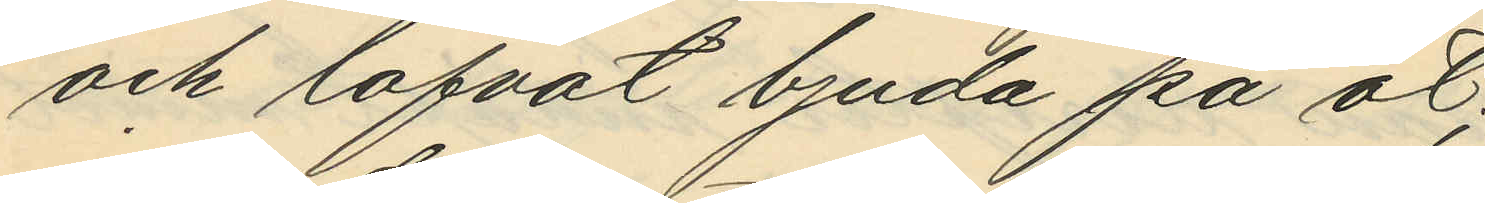och lofvat bjuda på öl;
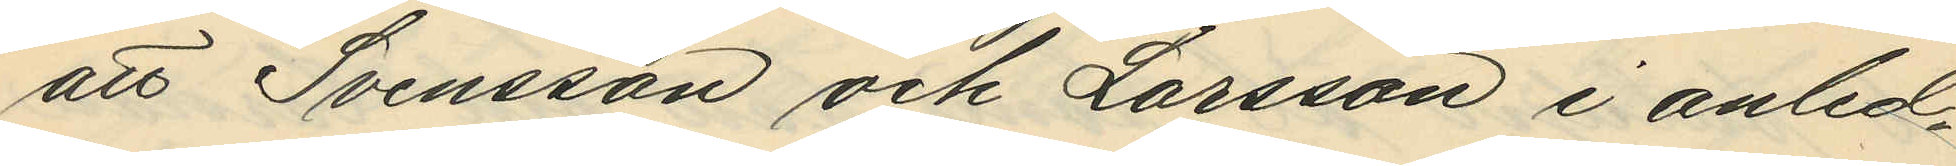att Svensson och Larsson i anled¬
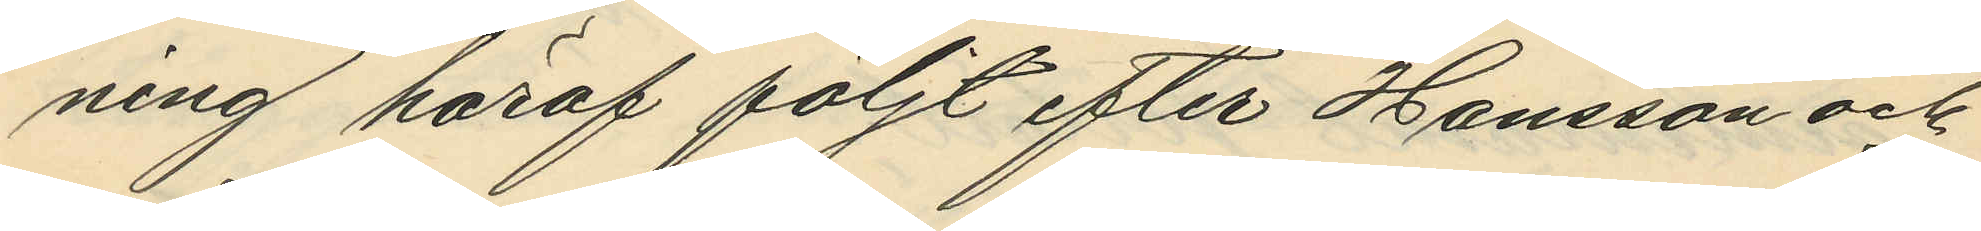ning häraf följt efter Hansson och
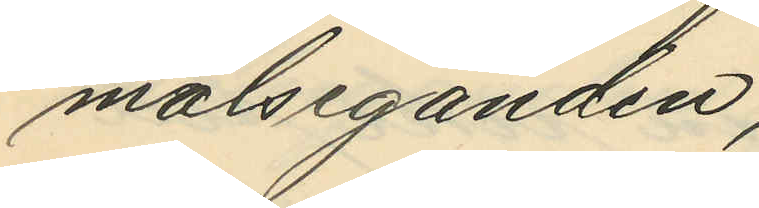målseganden;
